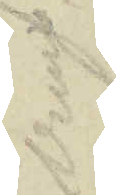brun
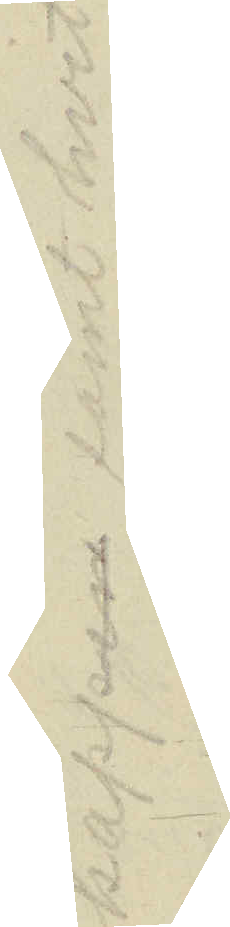käppen samt hvit
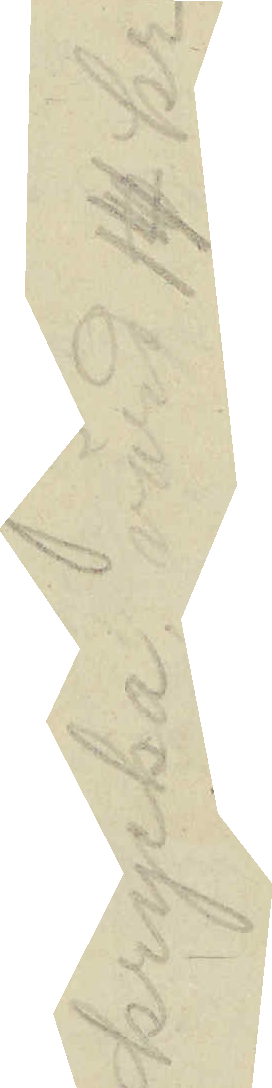krycka, värd 14 kr
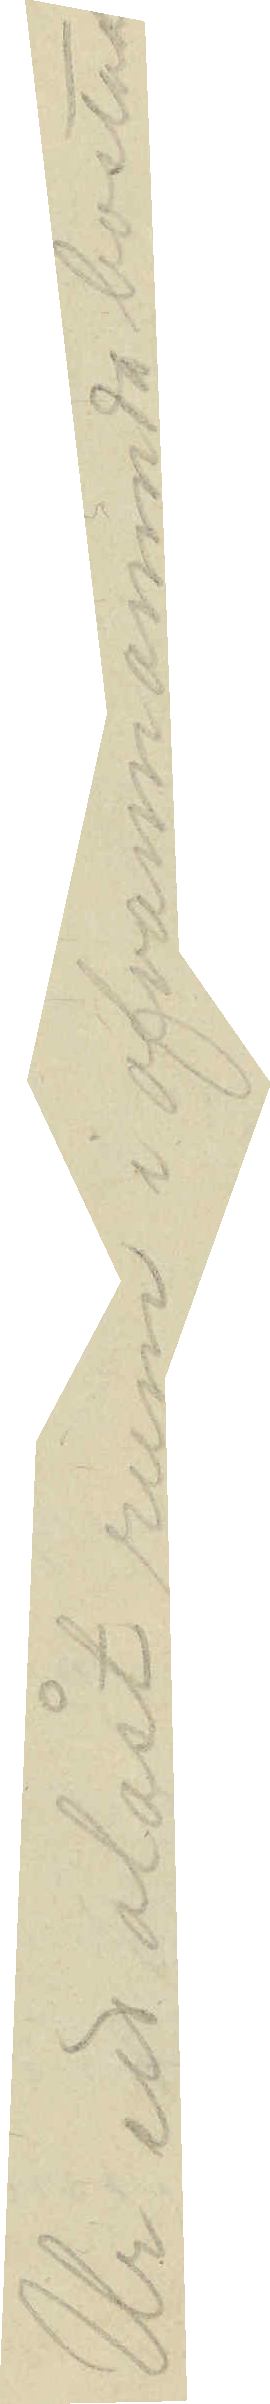Ur ett olåst rum i ofvannämnda bostad
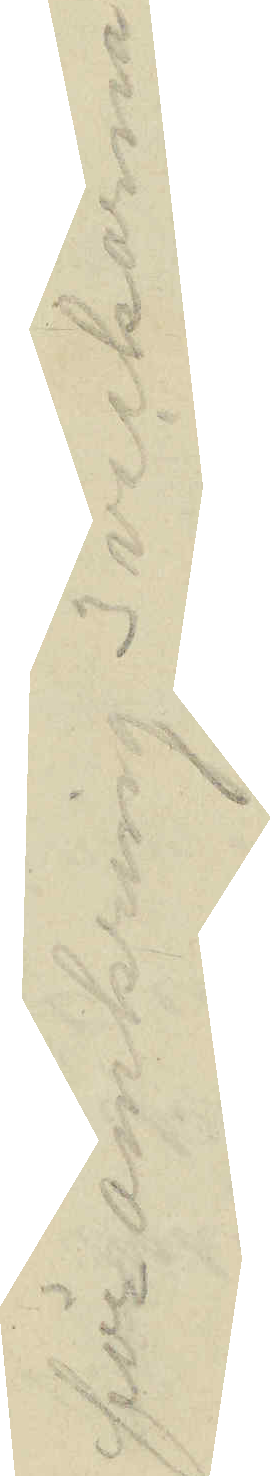för omkring 3 veckorna
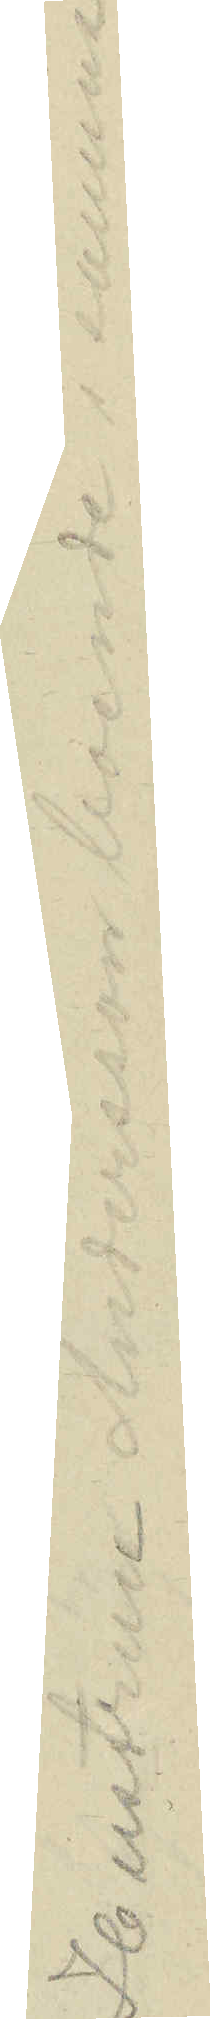Hustrun Andersson boende i samma
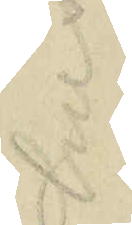hus
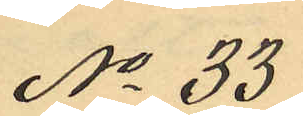No 33
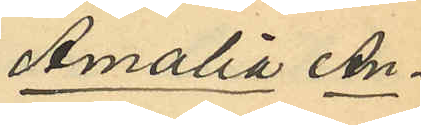Amalia An¬
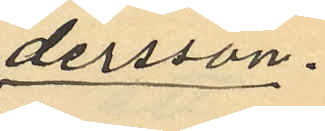dersson.
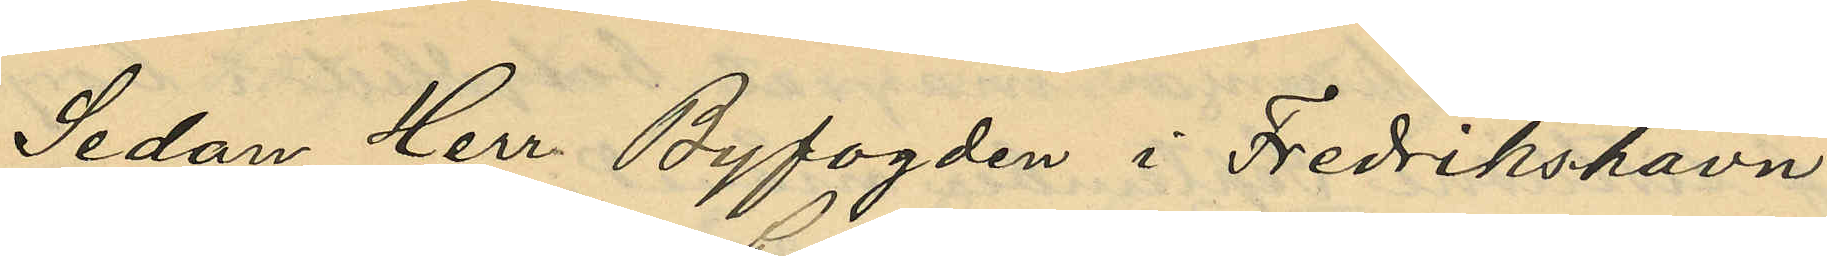Sedan Herr Byfogden i Fredrikshavn
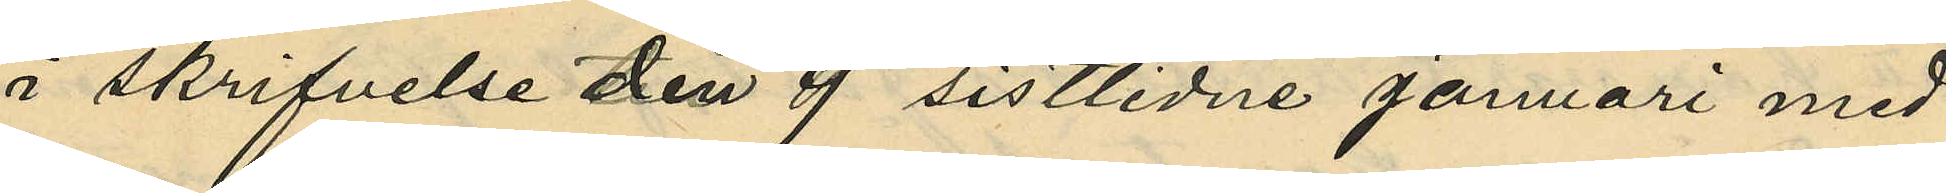i skrifvelse den 9 sistlidne januari med
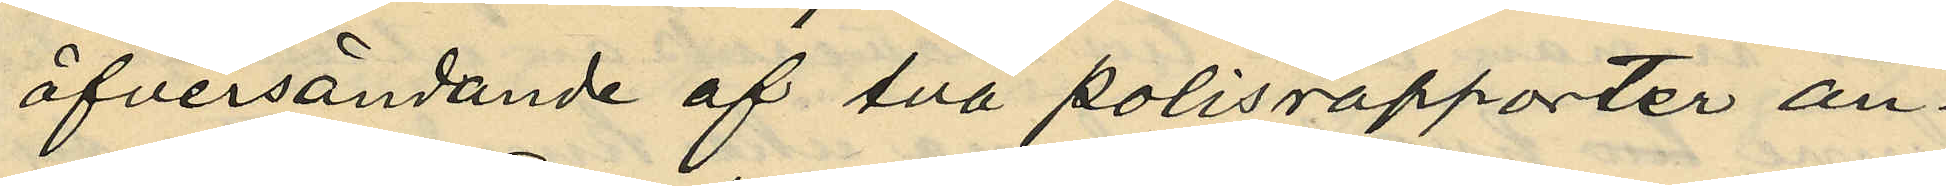öfversändande af två polisrapporter an¬
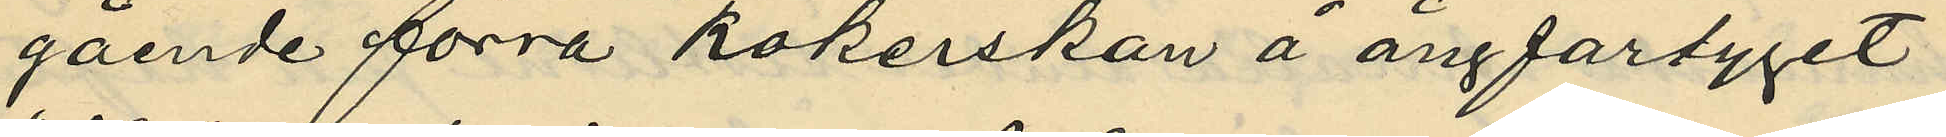gående förra kokerskan å ångfartyget
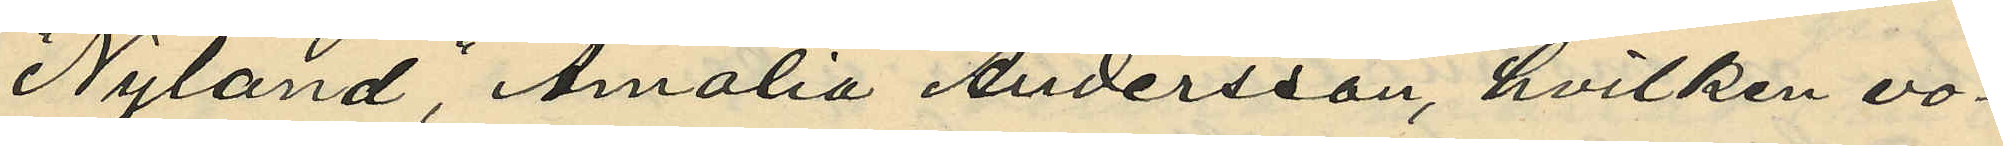"Nyland", Amalia Andersson, hvilken vo¬
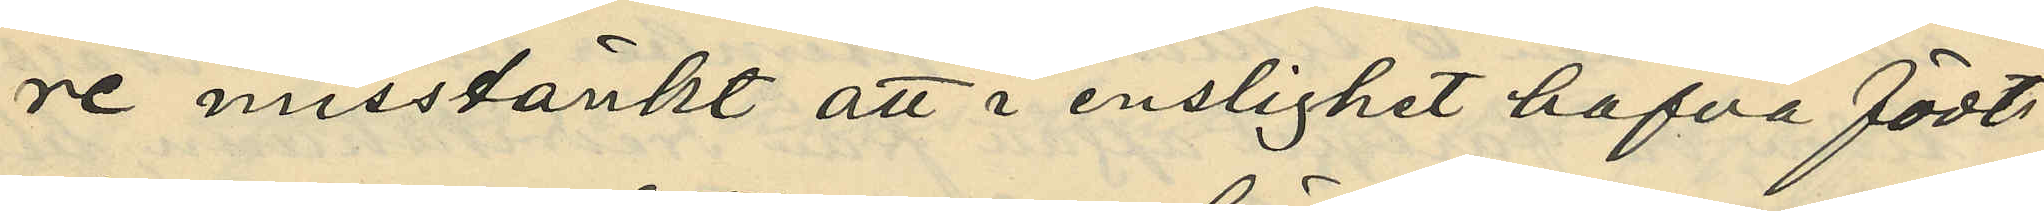re misstänkt att i enslighet hafva födt
